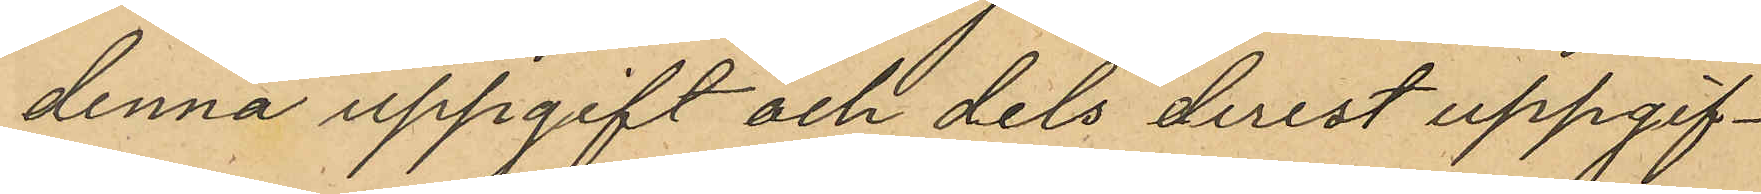denna uppgift och dels derest uppgif¬
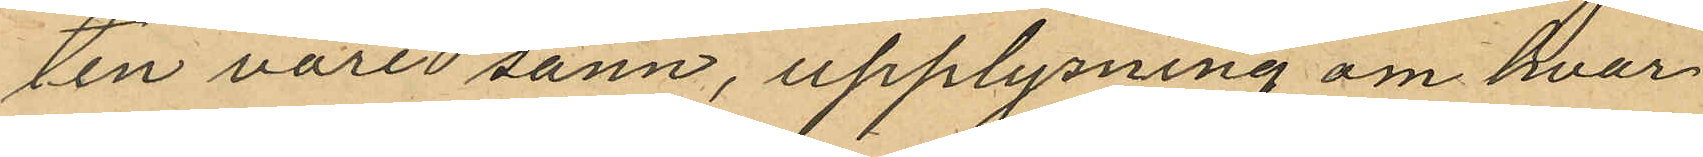ten vore sann, upplysning om hvar
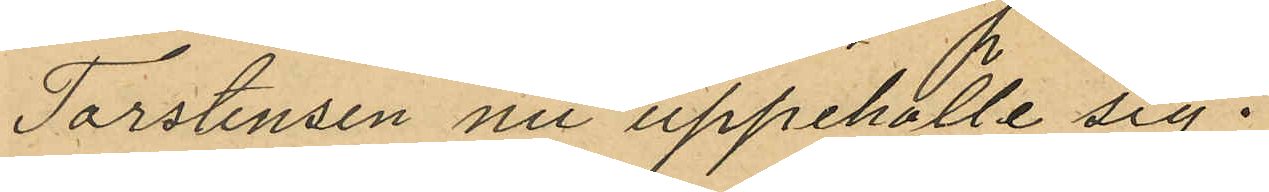Torstensen nu uppehölle sig.
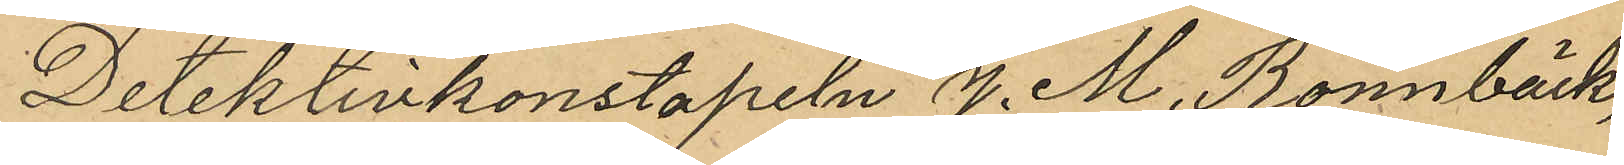Detektivkonstapeln J. M. Rönnbäck,
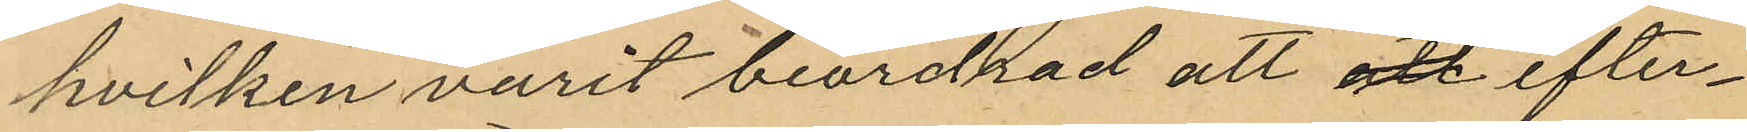hvilken varit beordrad att att efter¬
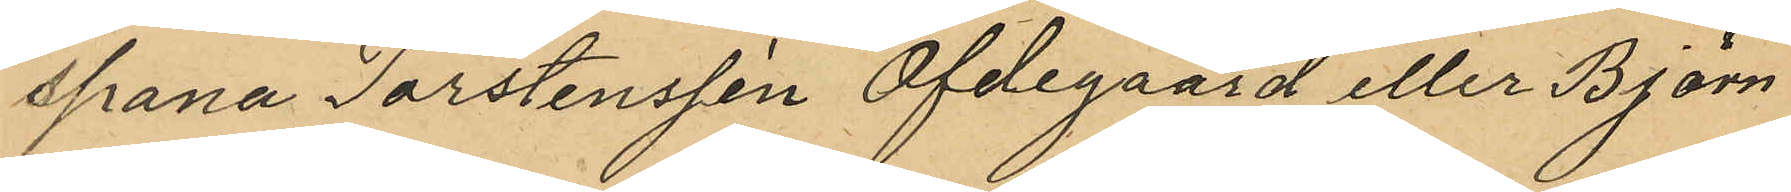spana Torstensson Ofdegaard eller Björn
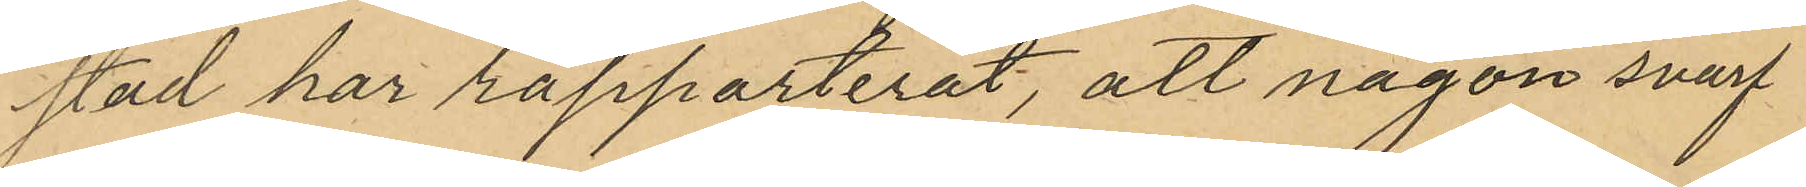stad har rapporterat, att någon svarf¬
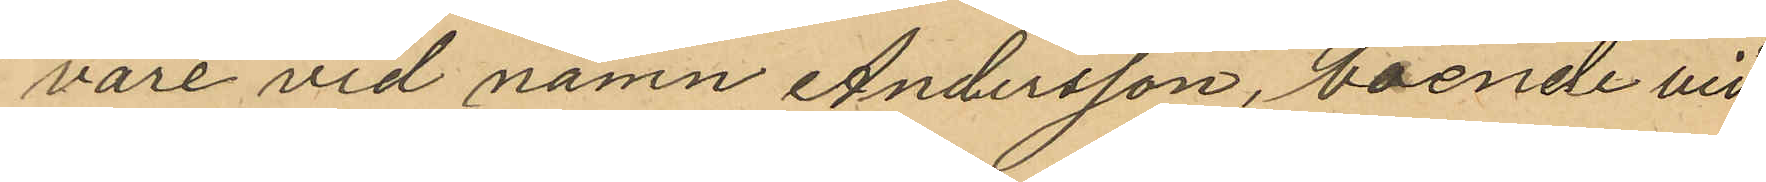vare vid namn Andersson, boende vid
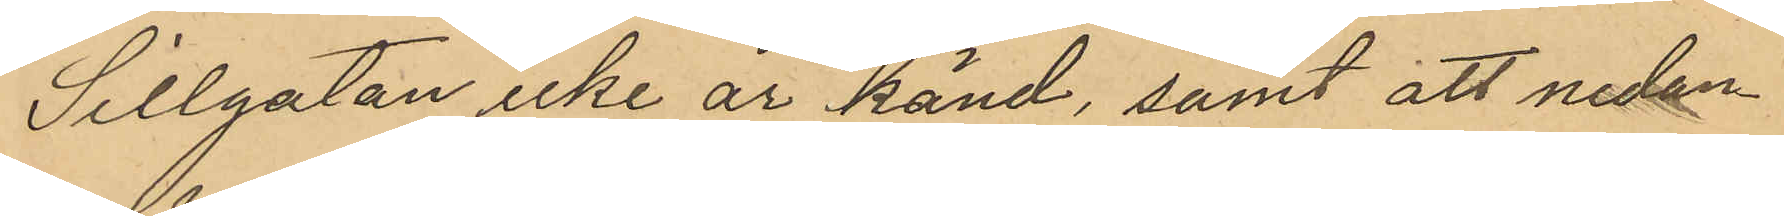Sillgatan icke är känd, samt att nedan
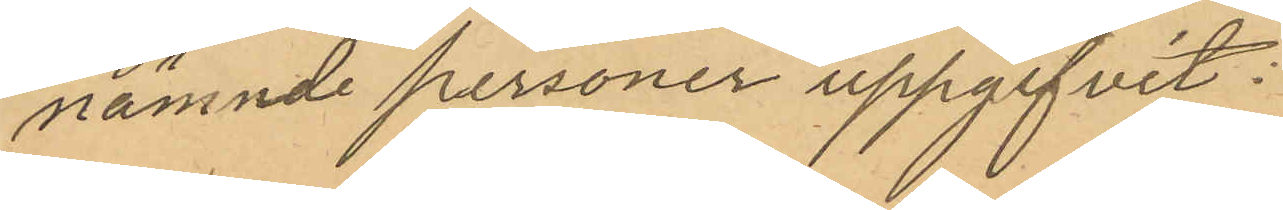nämnde personer uppgifvit:
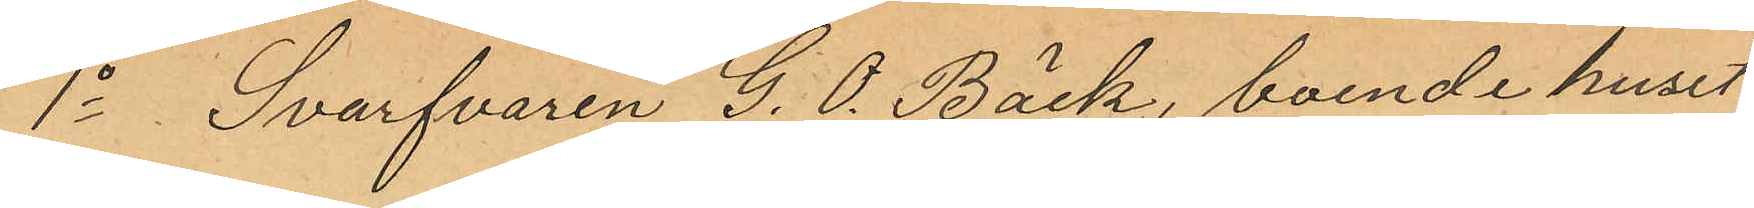1o Svarfvaren G. O. Bäck, boende huset
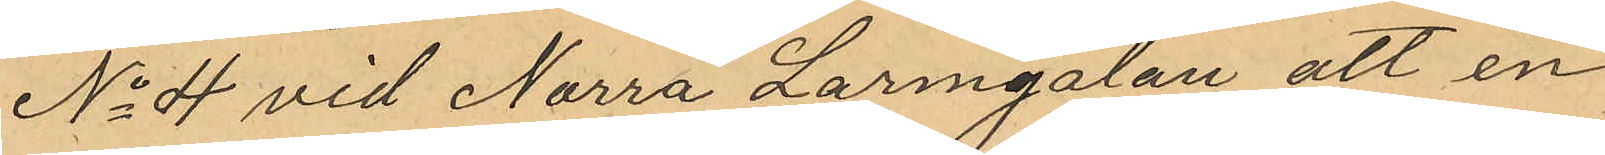No 4 vid Norra Larmgatan att en
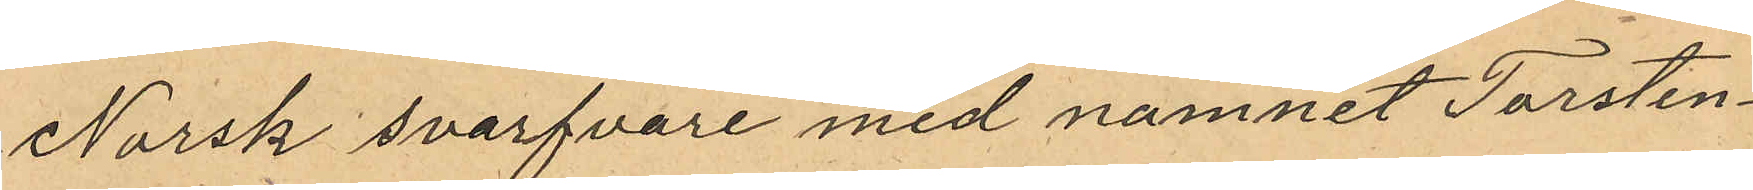Norsk svarfvare med namnet Torsten¬
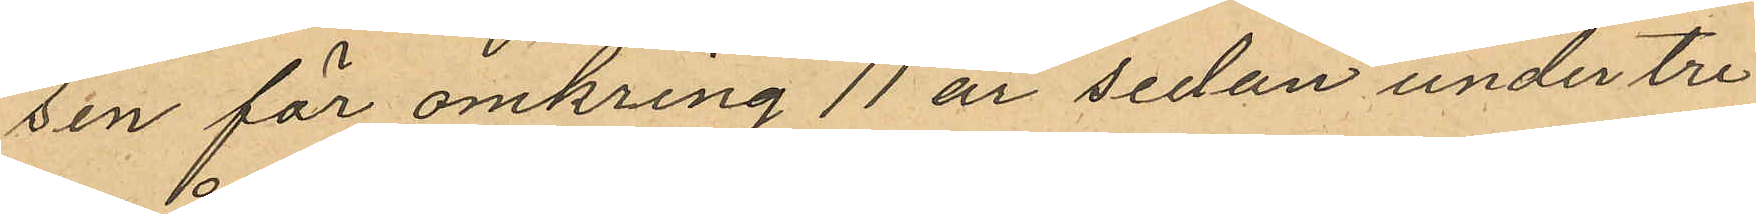sen för omkring 11 år sedan under tre
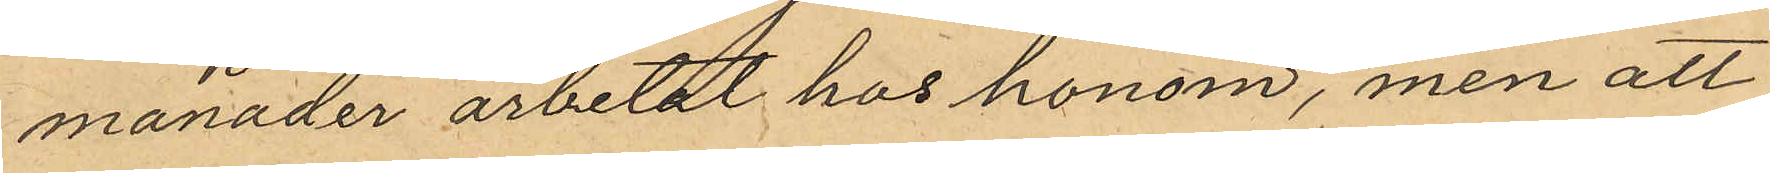månader arbetat hos honom, men att
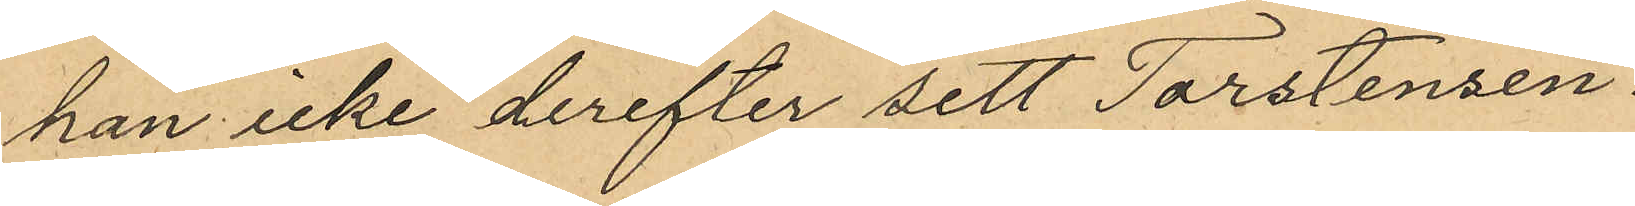han icke derefter sett Torstensen.
